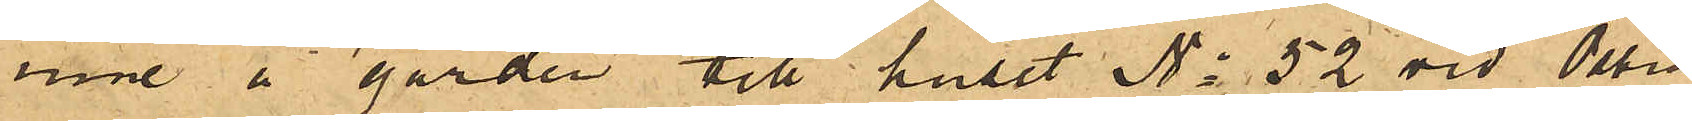inne å gården till huset No 52 vid Östra
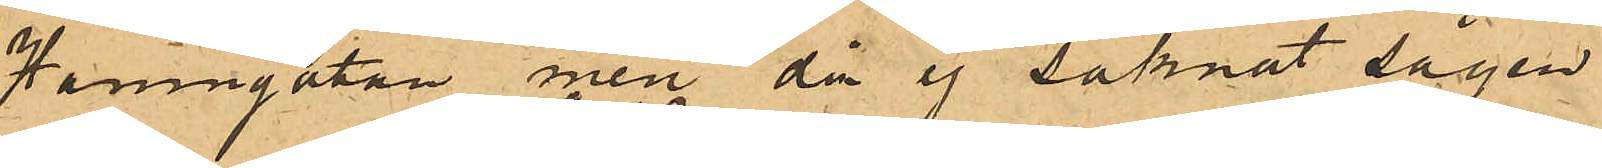Hamngatan, men då ej saknat sågen
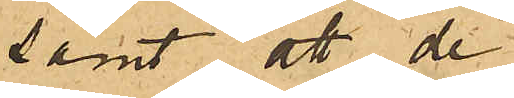samt att de
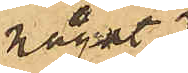något
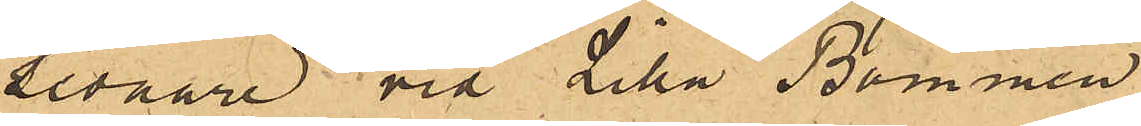sednare vid Lilla Bommen
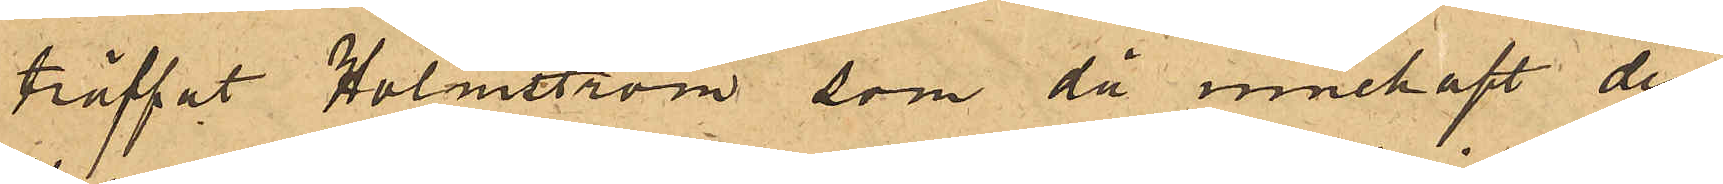träffat Holmström som då innehaft den
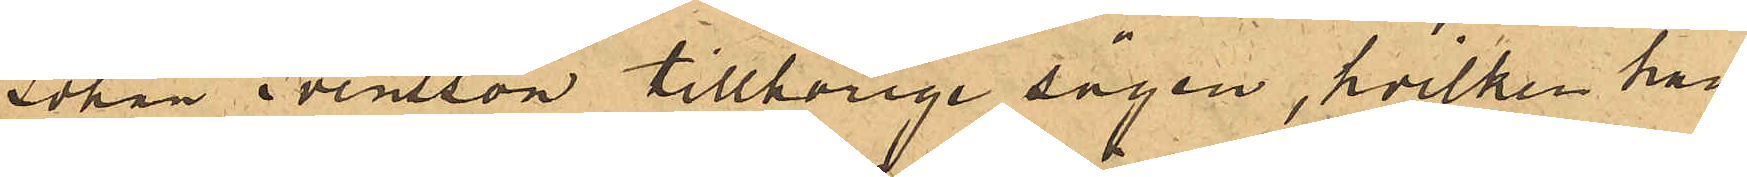Johan Svensson tillhörige sågen, hvilken han
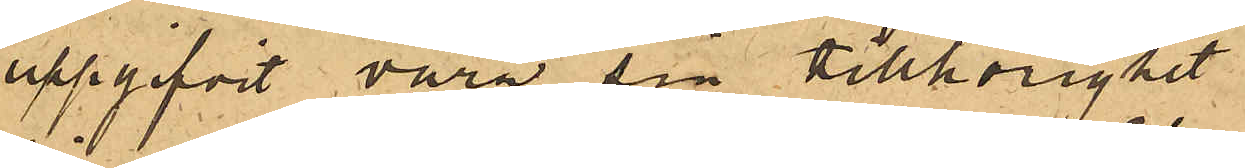uppgifvit vara sin tillhörighet.
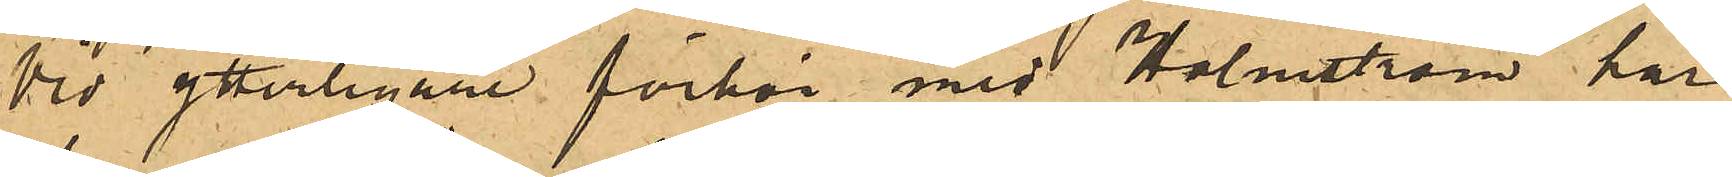Vid ytterligare förhör med Holmström har
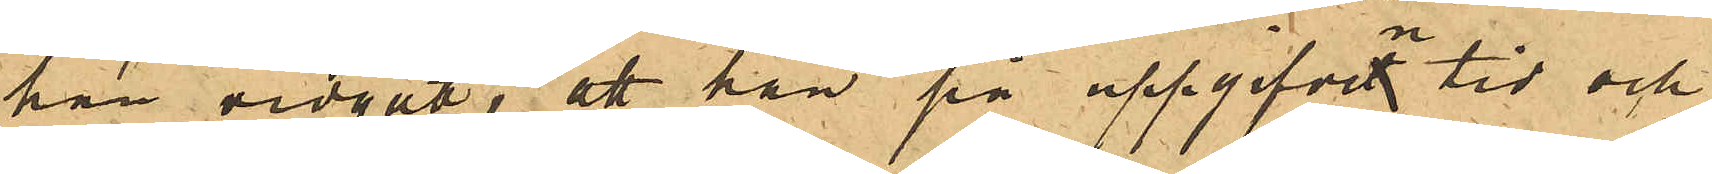han vidgått, att han på uppgifven tid och
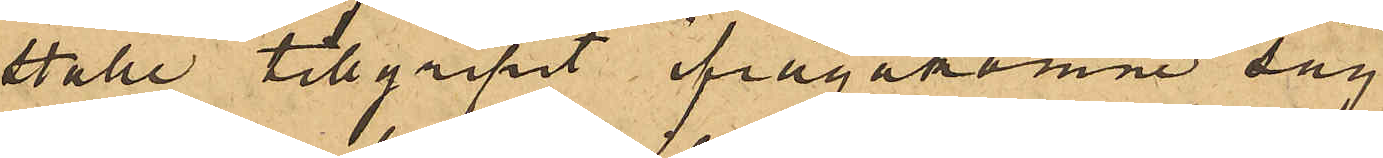ställe tillgripit ifrågakomne såg.
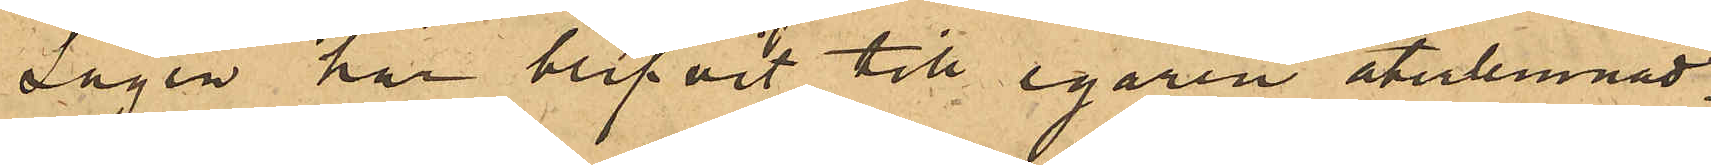Sågen har blifvit till egaren återlemnad.
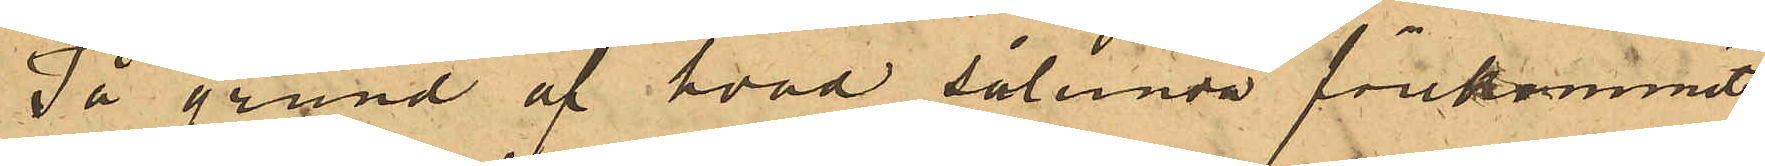På grund af hvad sålunda förekommit
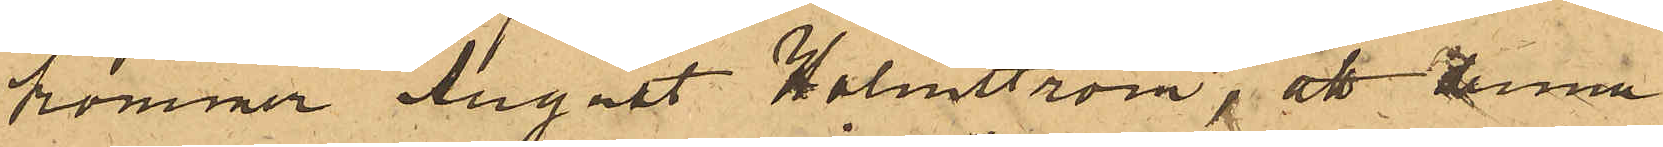kommer August Holmström, att denna
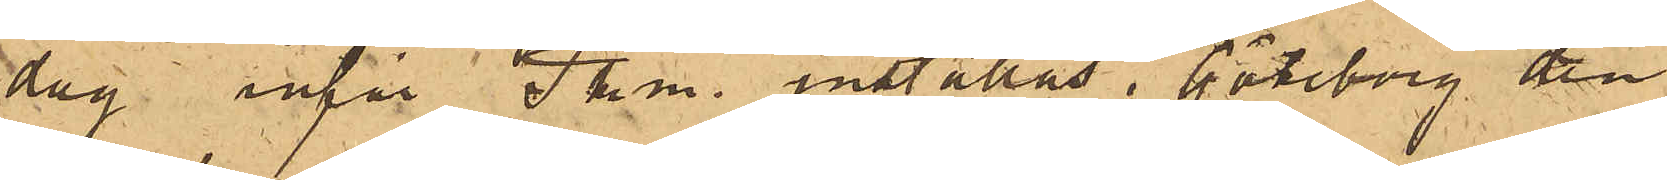dag inför Pkm. inställas. Göteborg den
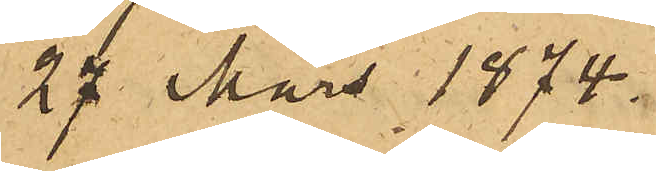27 Mars 1874.
